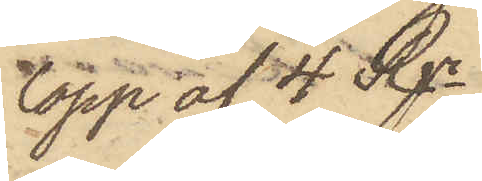lopp af 4 Rgr.
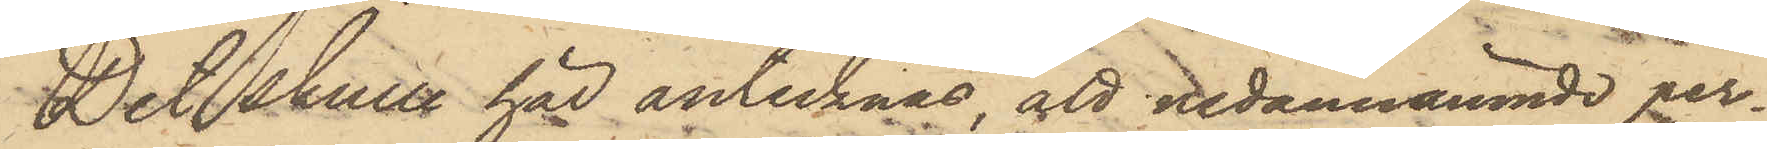Det skulle här antecknas, att nedannämnde per¬
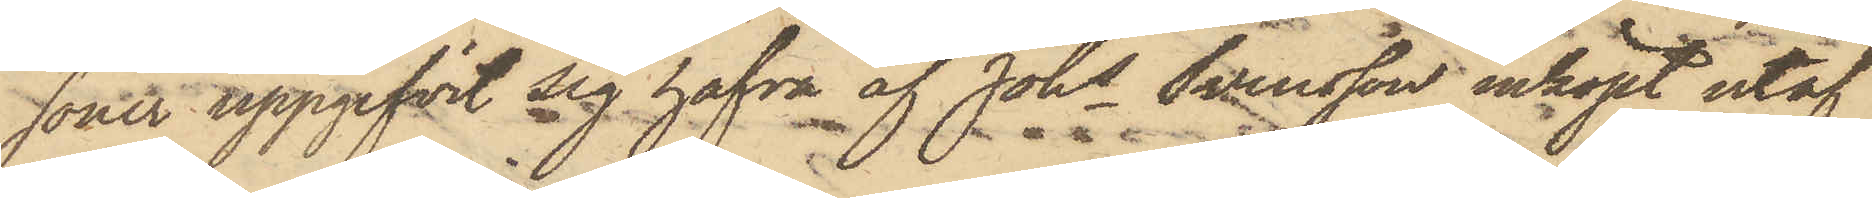soner uppgifvit sig hafva af Johs Svensson inköpt utaf
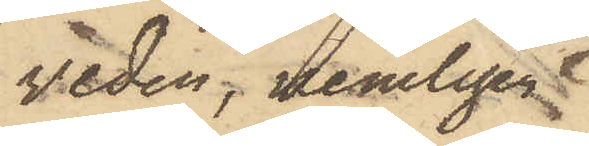veden, nemligen
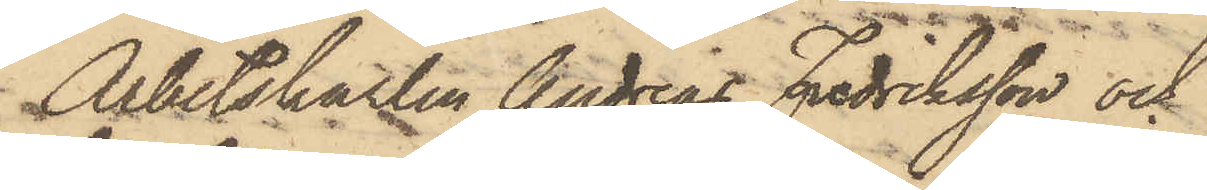Arbetskarlen Andreas Fredriksson och
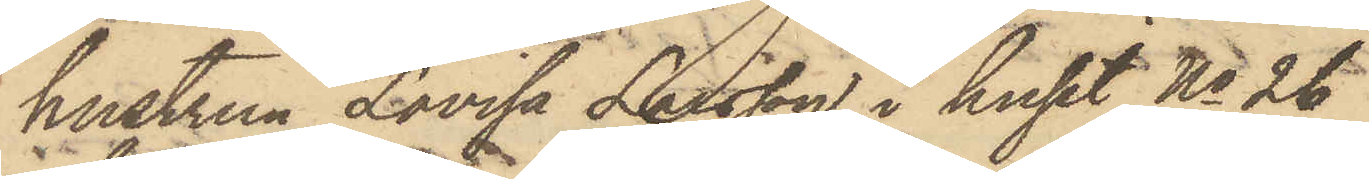hustrun Lovisa Larsson i huset No 26
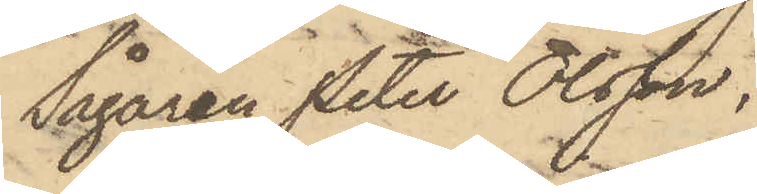Sågaren Peter Olsson,
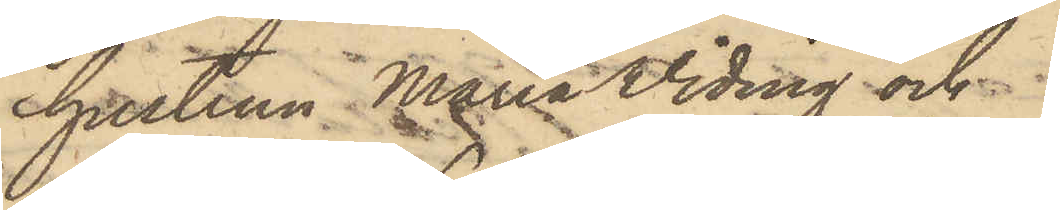hustrun Maria Viding och
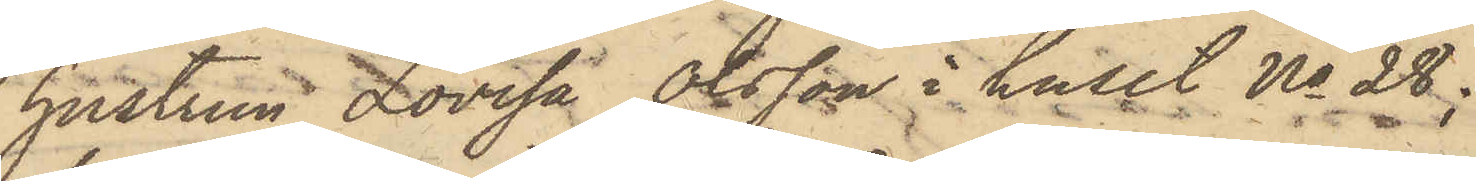hustrun Lovisa Olsson i huset No 28;
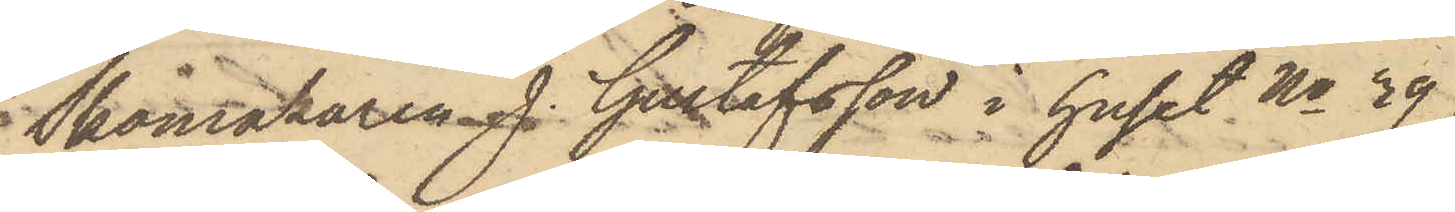Skomakaren J. Gustafsson i huset No 39,
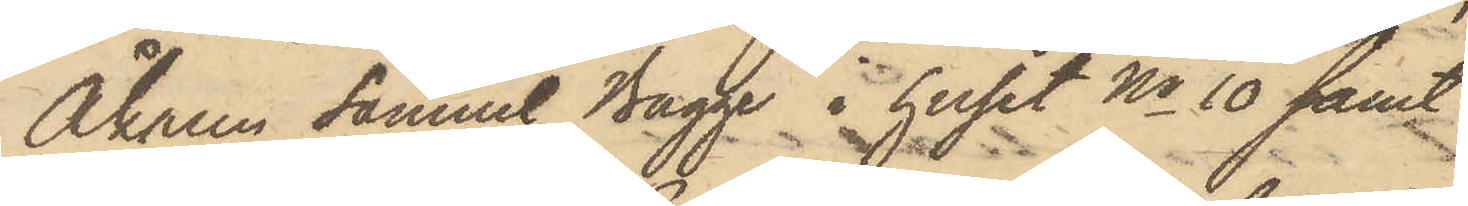Åkaren Samuel Bagge i huset No 10 samt
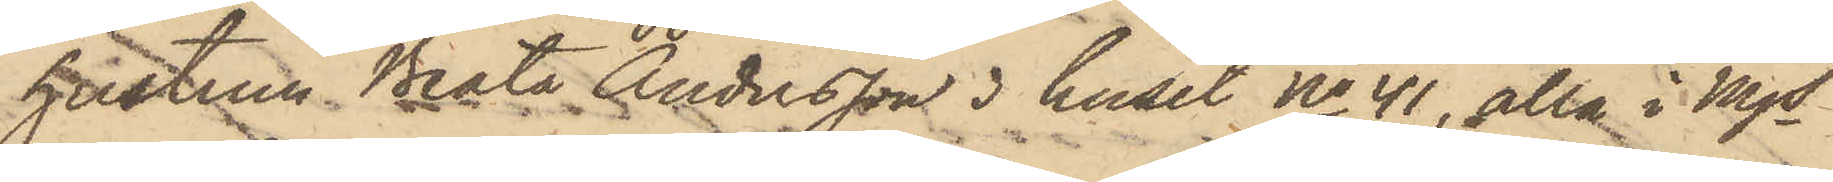hustrun Beata Andersson i huset No 41, alla i Mjs
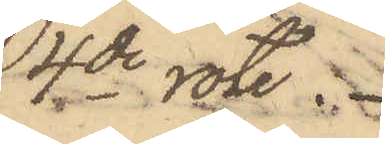4de rote.
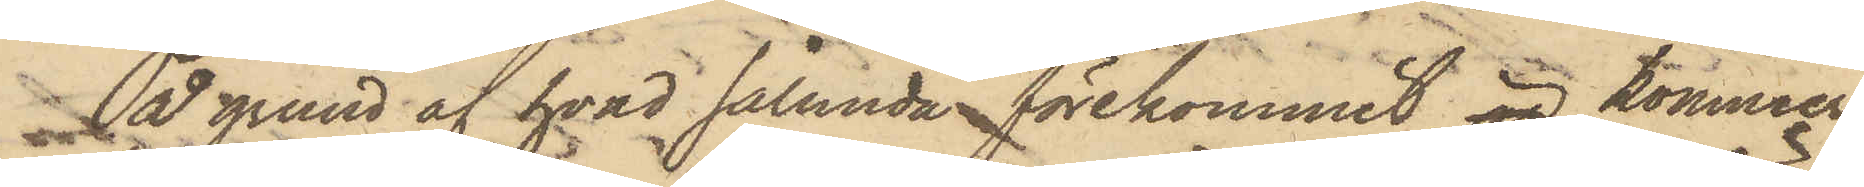På grund af hvad sålunda förekommit, är kommer
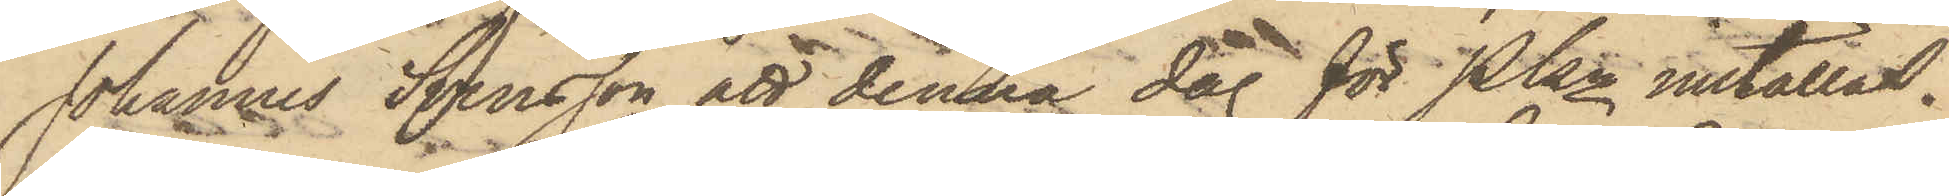Johannes Svensson att denna dag för Pkn inställas.
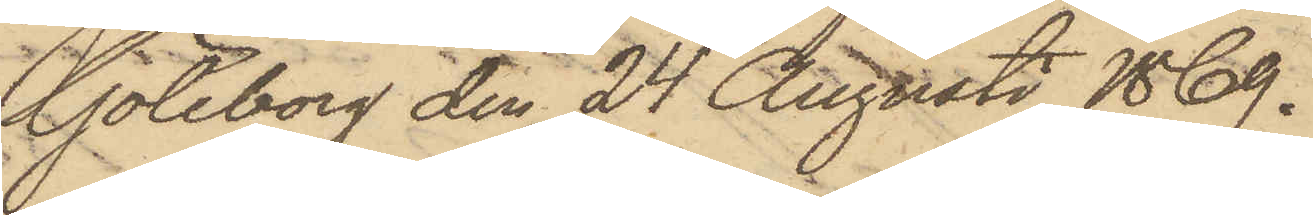Göteborg den 24 Augusti 1869.
